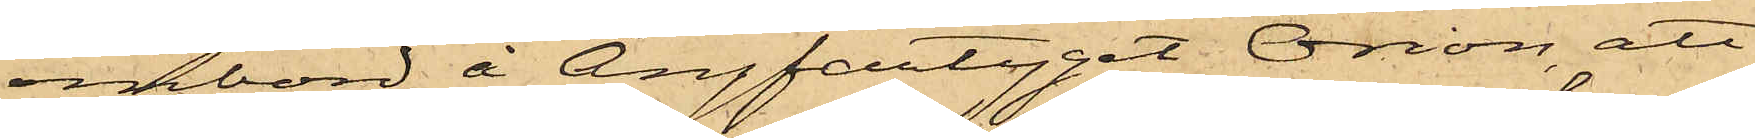ombord å Ångfartyget Orion, att
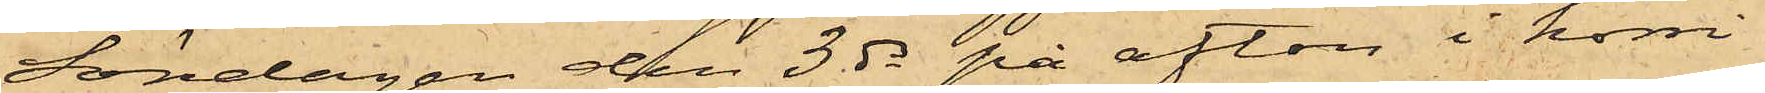Söndagen den 3 ds på afton i korri¬
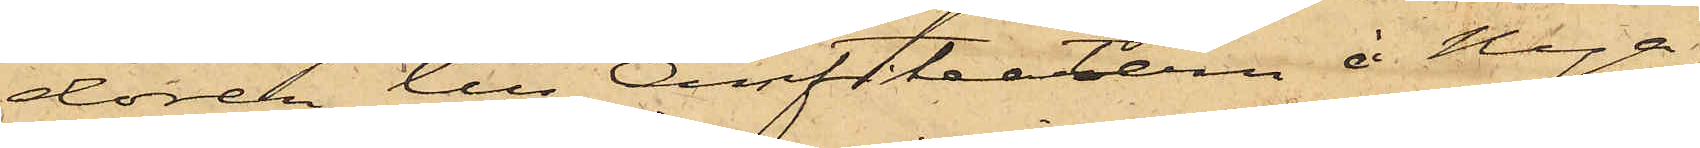doren till Amfitheatern å Nya
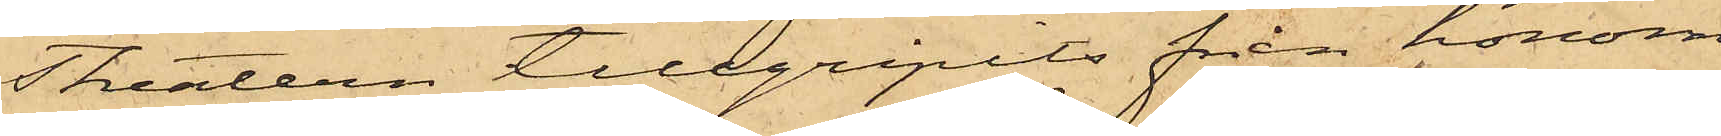Theatern tillgripits från honom
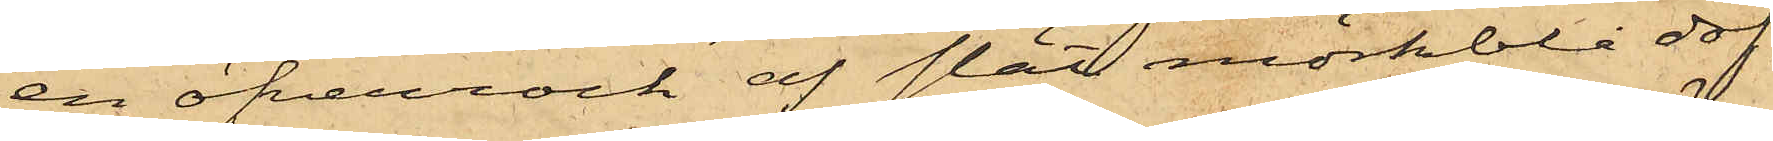en öfverrock af slät mörkblå dof¬
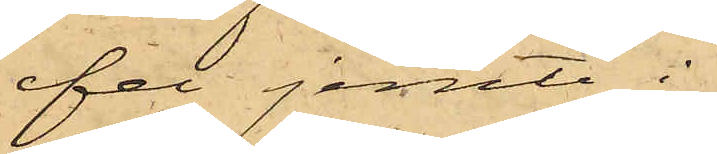fel jemte i
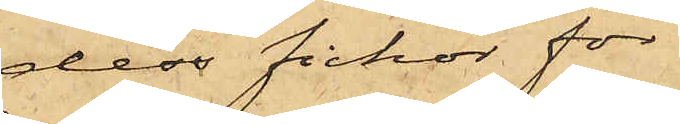dess fickor för¬
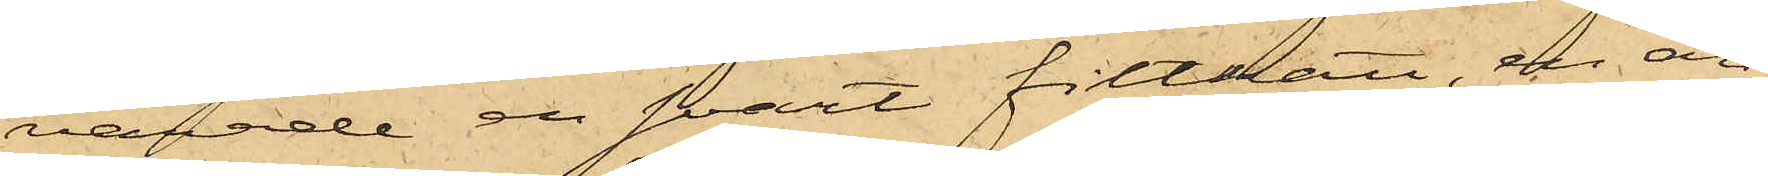varade en svart filthatt, en an¬
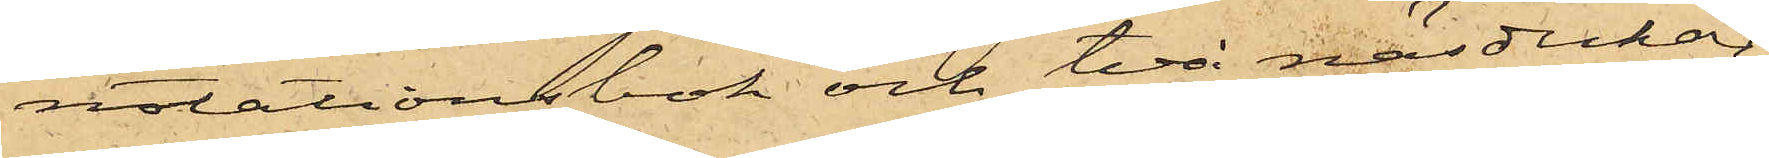notationsbok och två näsdukar.
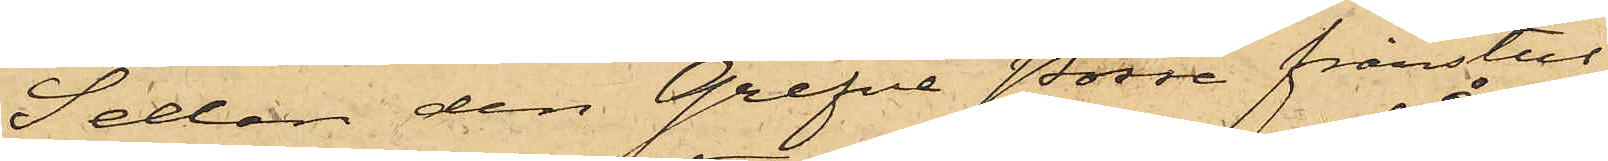Sedan den Grefve Posse frånstul¬
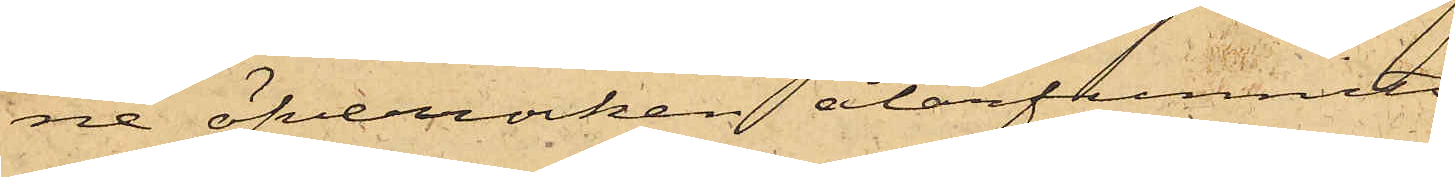ne öfverrocken återfunnits
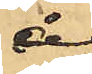å
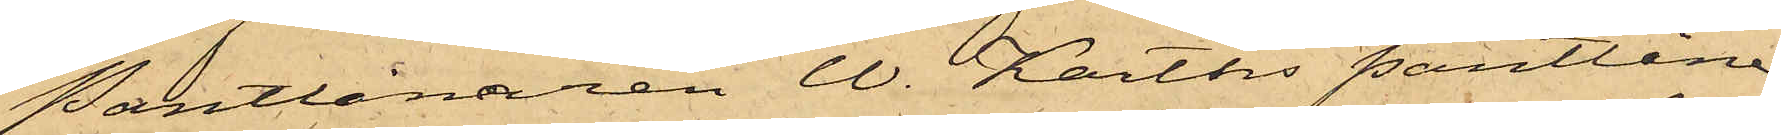Pantlånaren W. Karths Pantlåne¬
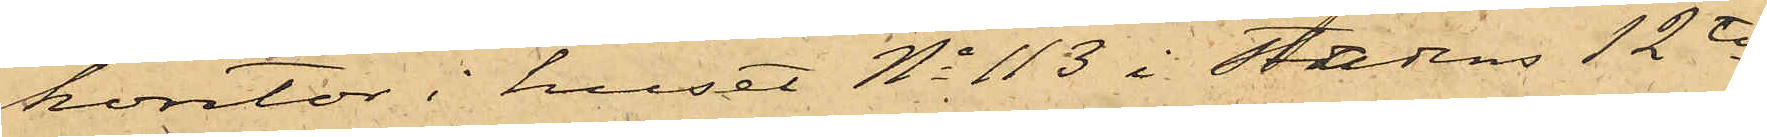kontor i huset No 113 i Stadens 12te
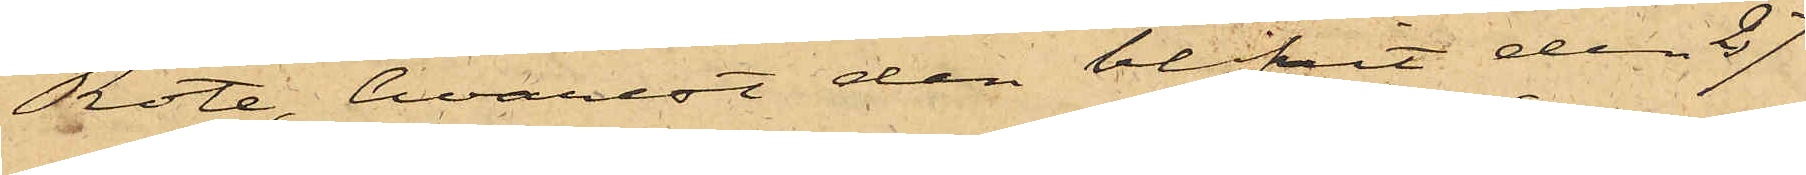Rote, hvarest den blifvit den 27
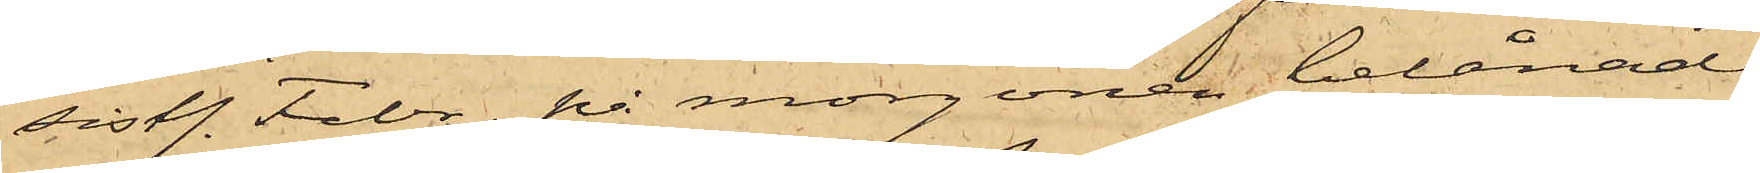sistl. Febr. på morgonen belånad
